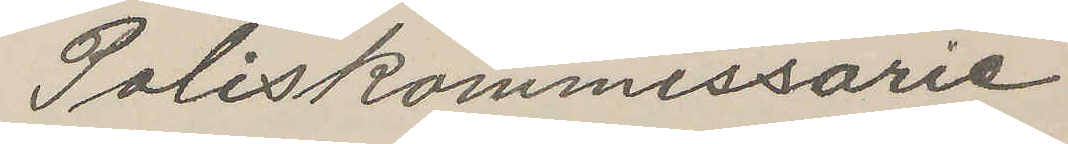Poliskommissarie
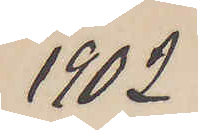1902
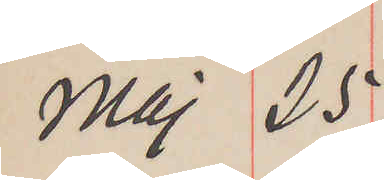Maj 25
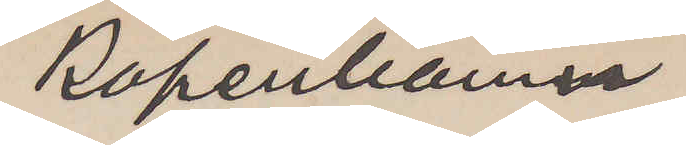Köpenhamn
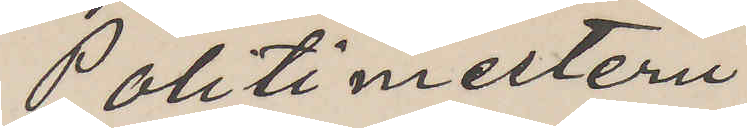Politimesteren
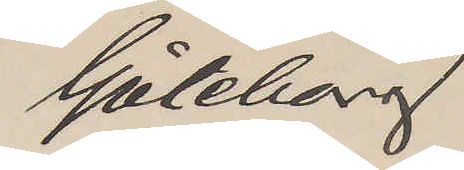Göteborg
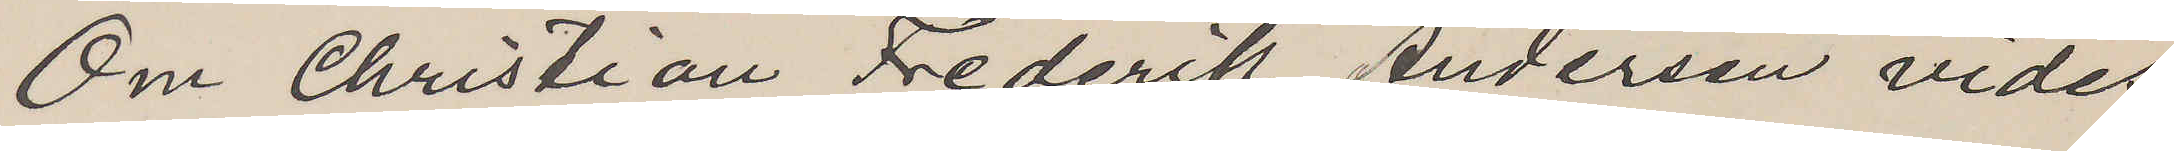Om Christian Frederik Andersen vides
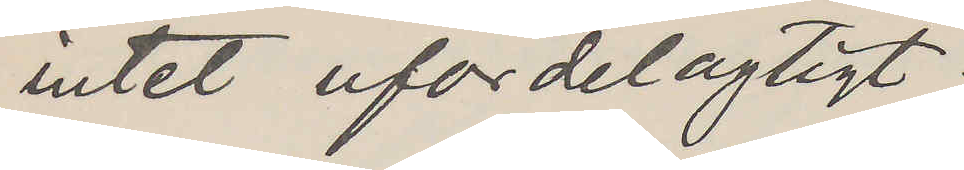intet ufordelagtigt.
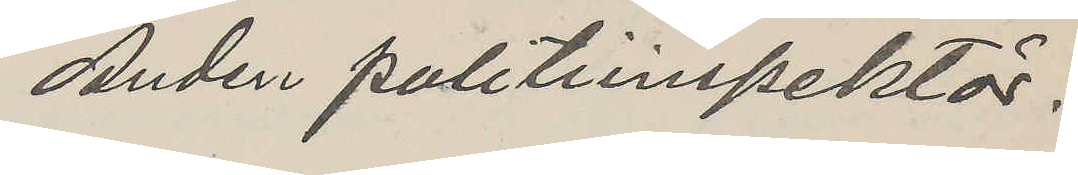Anden politiinspektör.
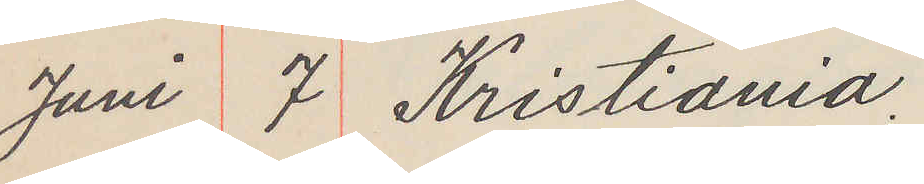Juni 7 Kristiania.
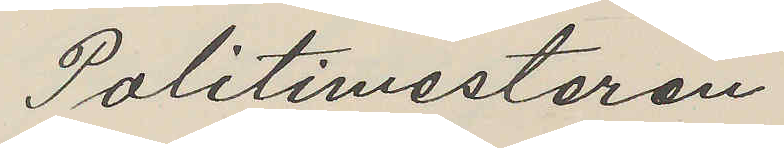Politimesteren
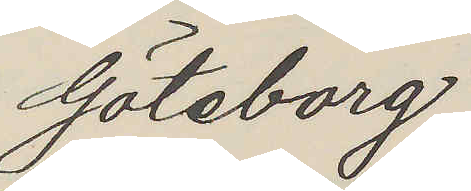Göteborg
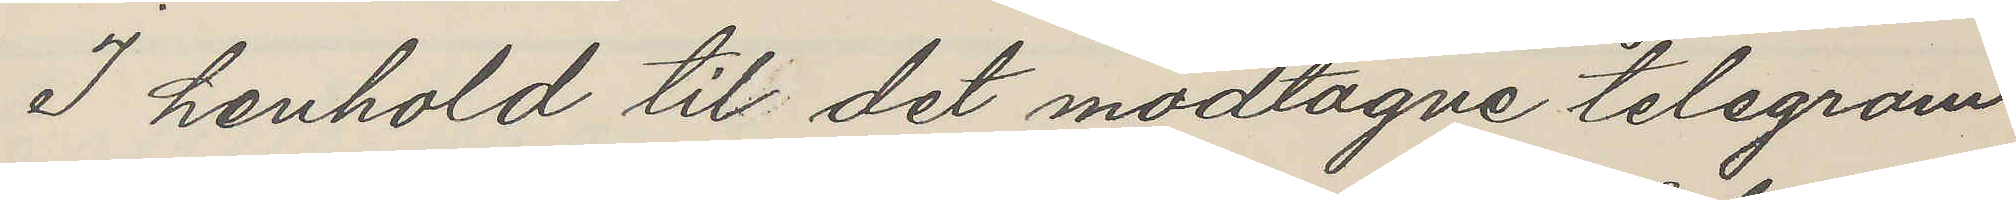I henhold till det modtagne telegram
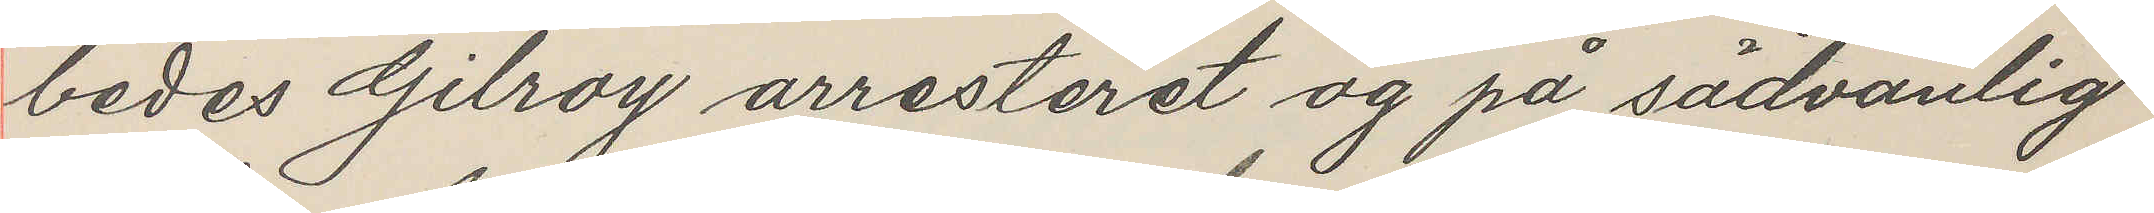bedes Gilroy arresteret og på sädvanlig
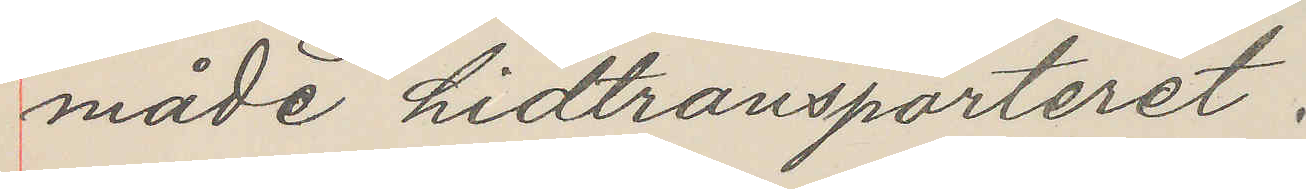måde hidtransporteret.
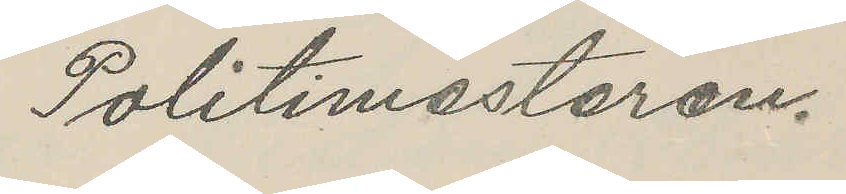Politimesteren.
